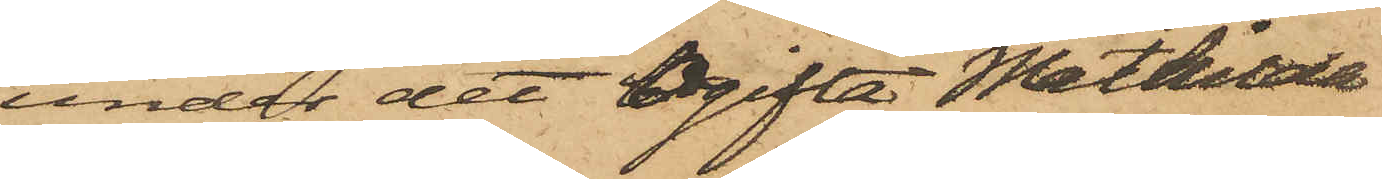under det Ogifta Mathilda
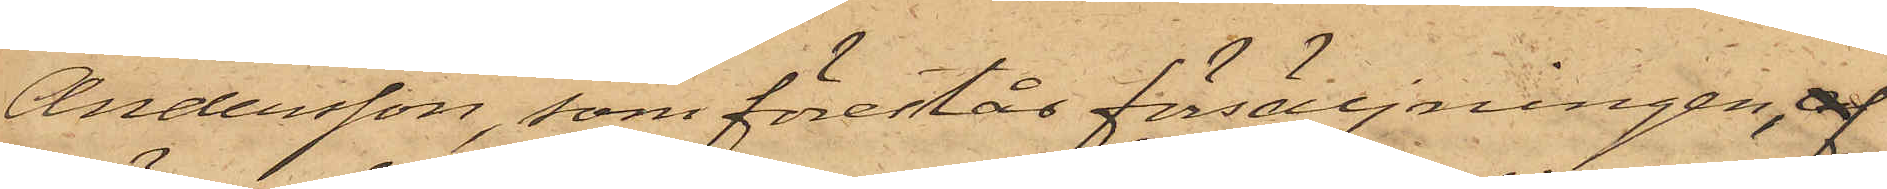Andersson, som förestår försäljningen 
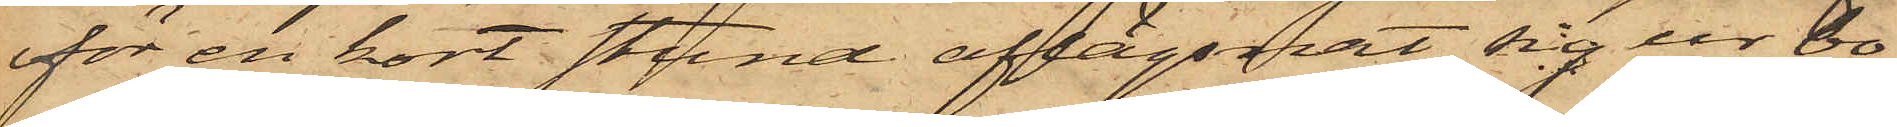för en kort stund aflägsnat sig ur bo¬
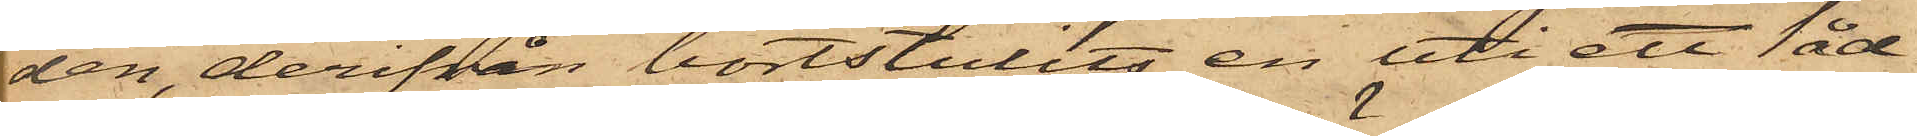den, derifrån bortstulits en uti ett låd¬
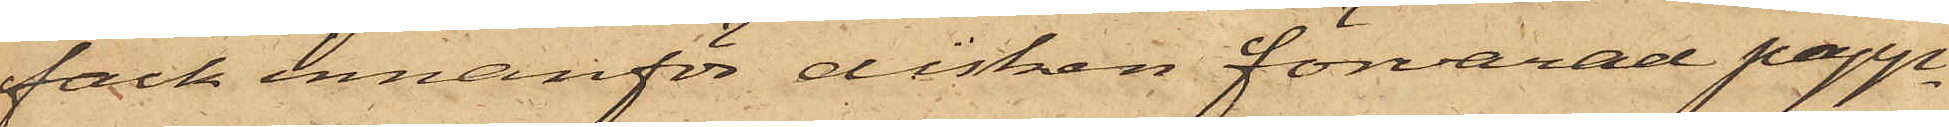fack innanför disken förvarad papp¬
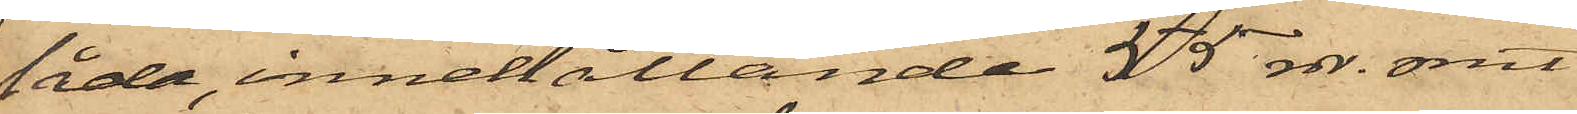låda, innehållande 55 rdr. rmt.
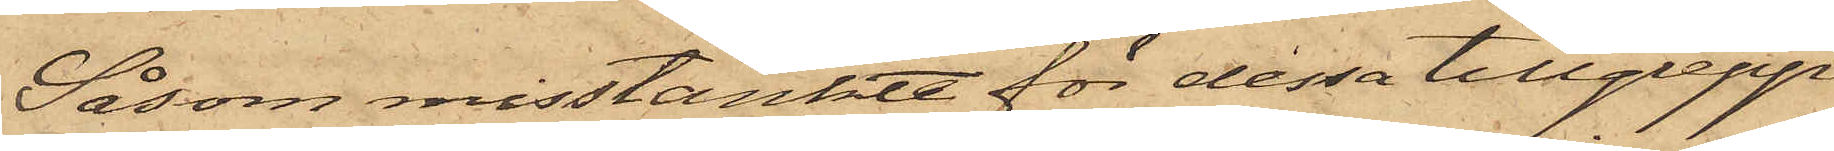Såsom misstänkte för dessa tillgrepp
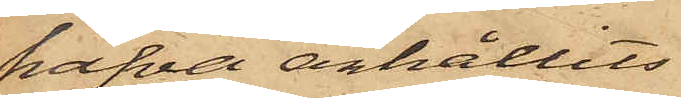hafva anhållits
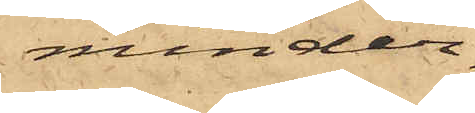minder¬
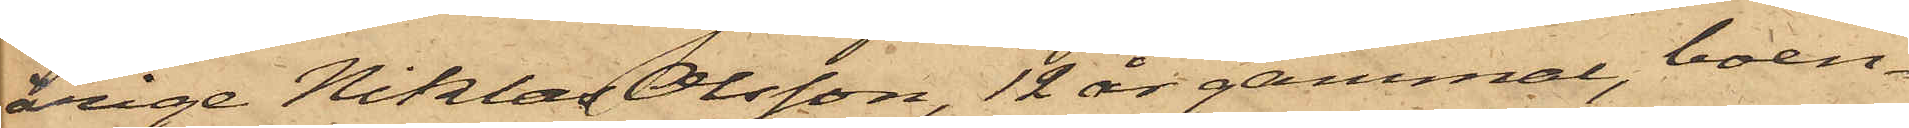årige Niklas Olsson, 12 år gammal, boen¬
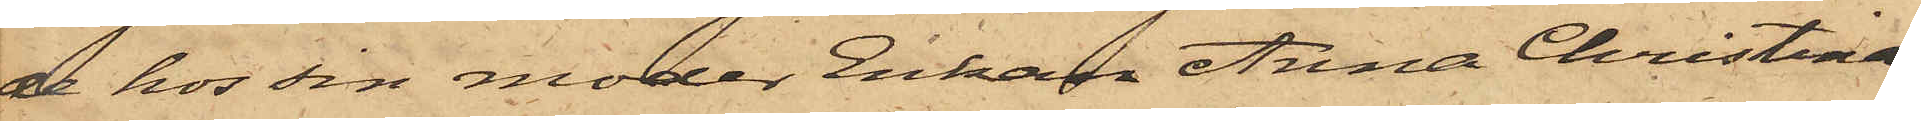de hos sin moder Enkan Anna Christina
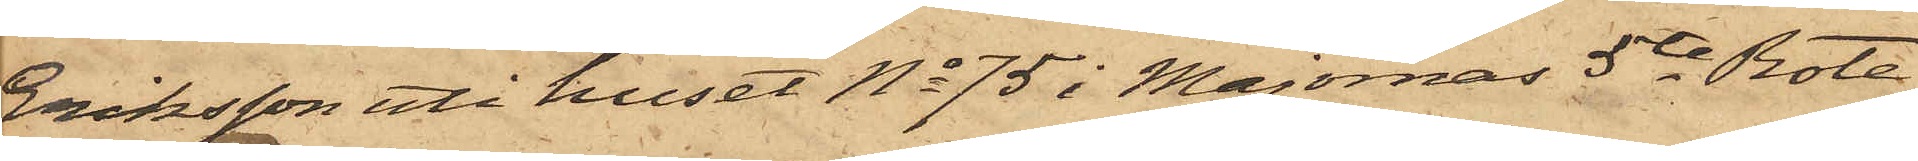Eriksson uti huset No 75 i Majornas 5te Rote,
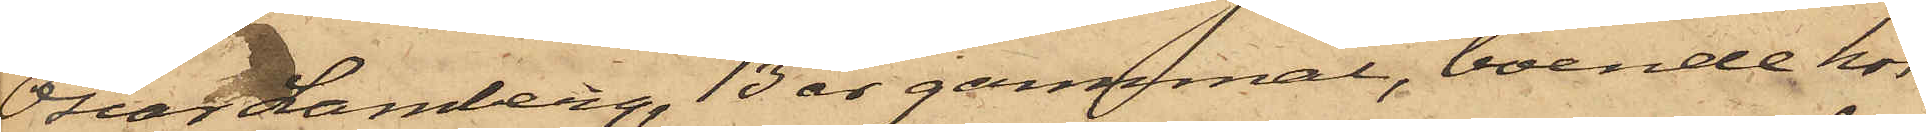Oscar Lamberg, 13 år gammal, boende hos
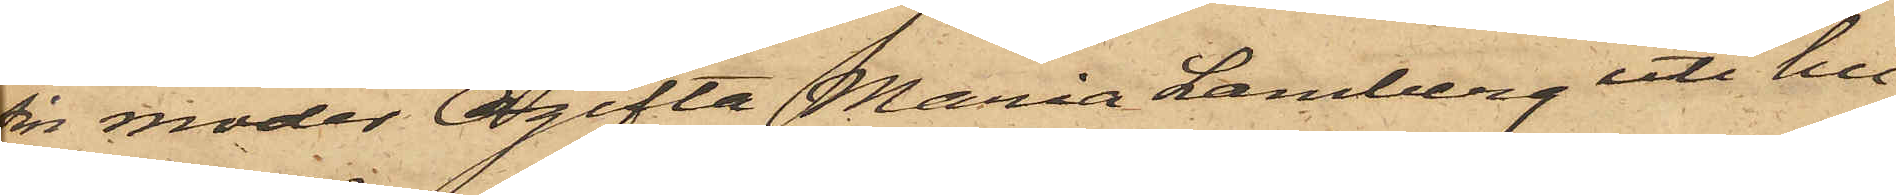sin moder Ogifta Maria Lamberg uti hu¬
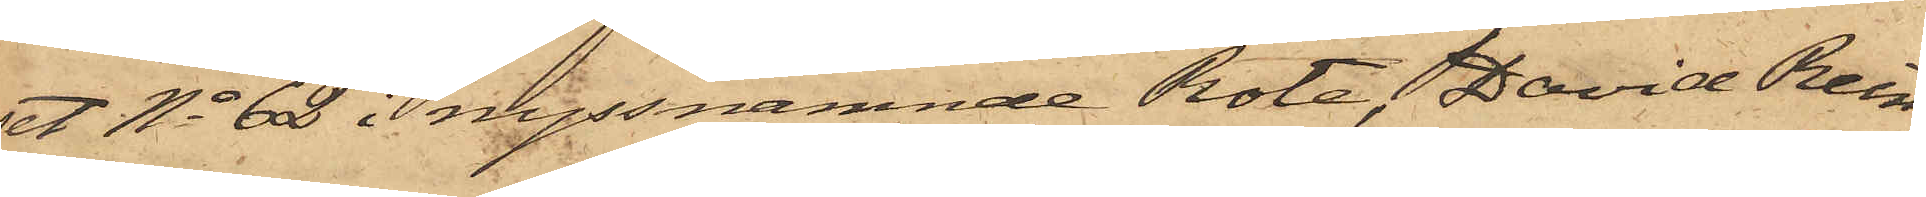et No 62 i nyssnämnde Rote, David Rein¬
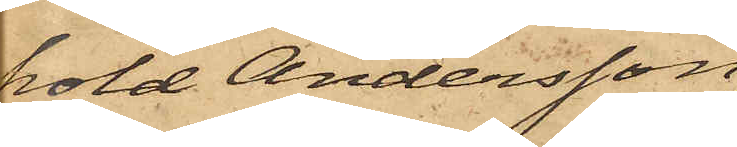hold Andersson,
